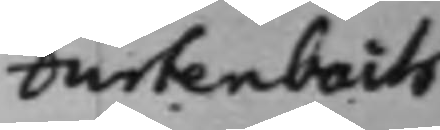Furtenbach
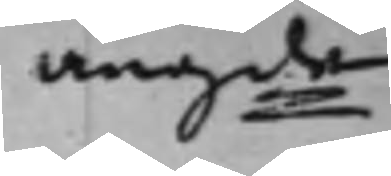angde
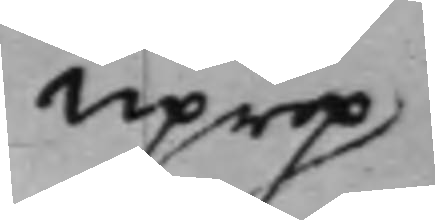Uprop
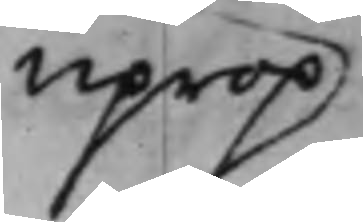Uprop 
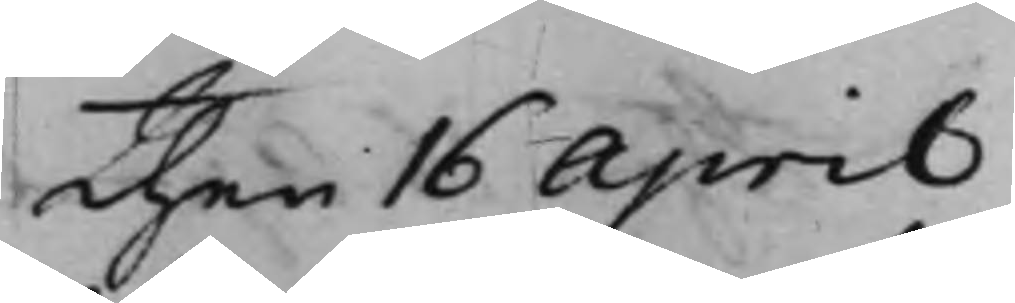Then 16 April
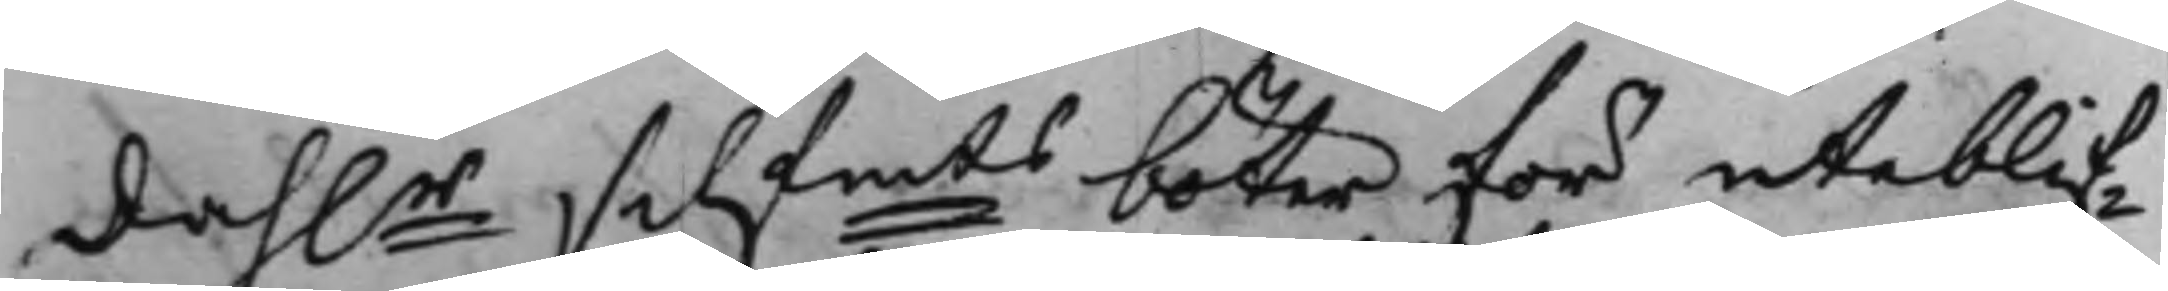dahlr Silf.mts böter för uteblif¬
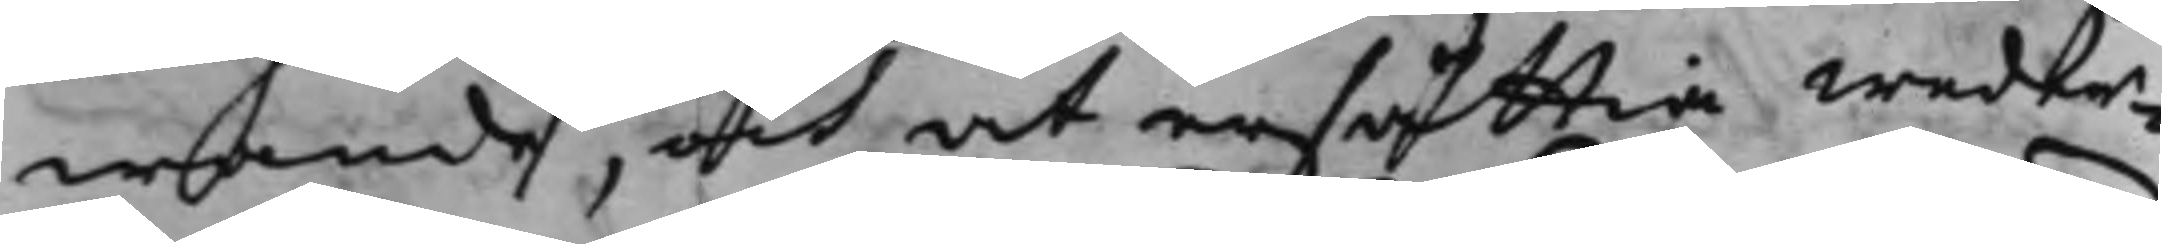wande, och at ersättia weder¬
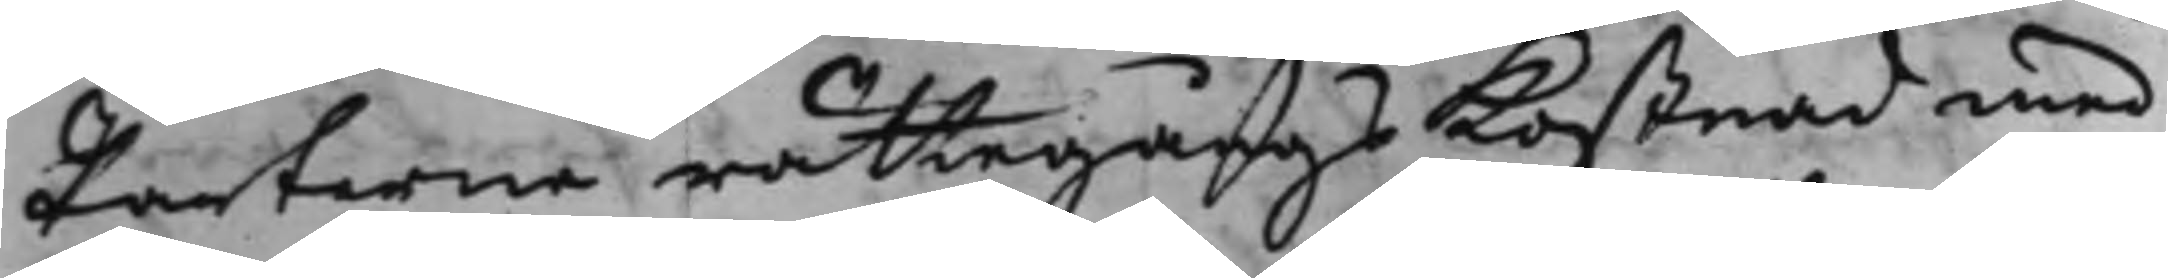Parterne rättegångs Kostnad med
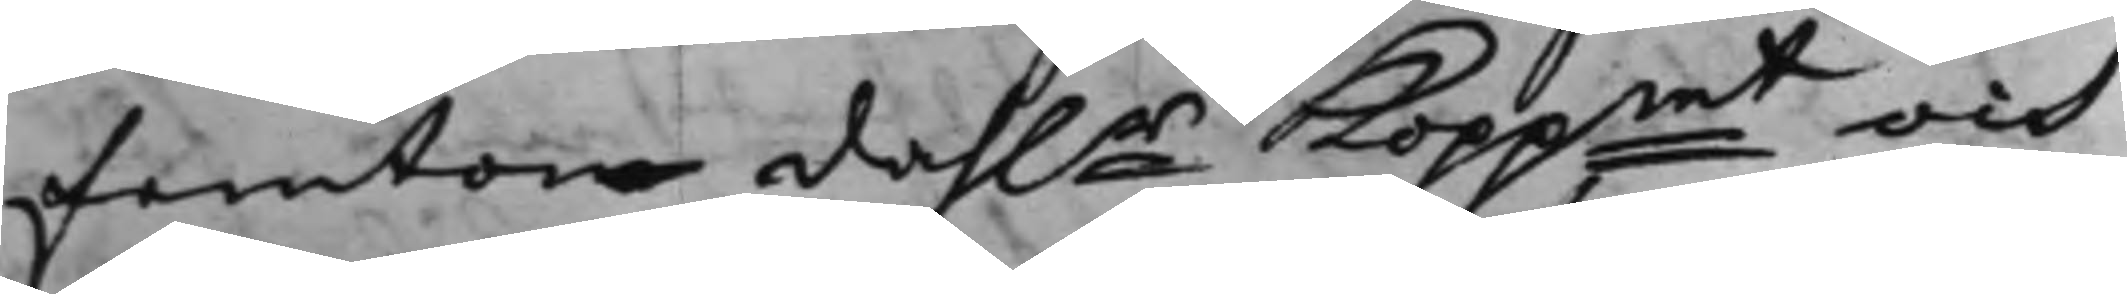femton dahlr Koppmt och
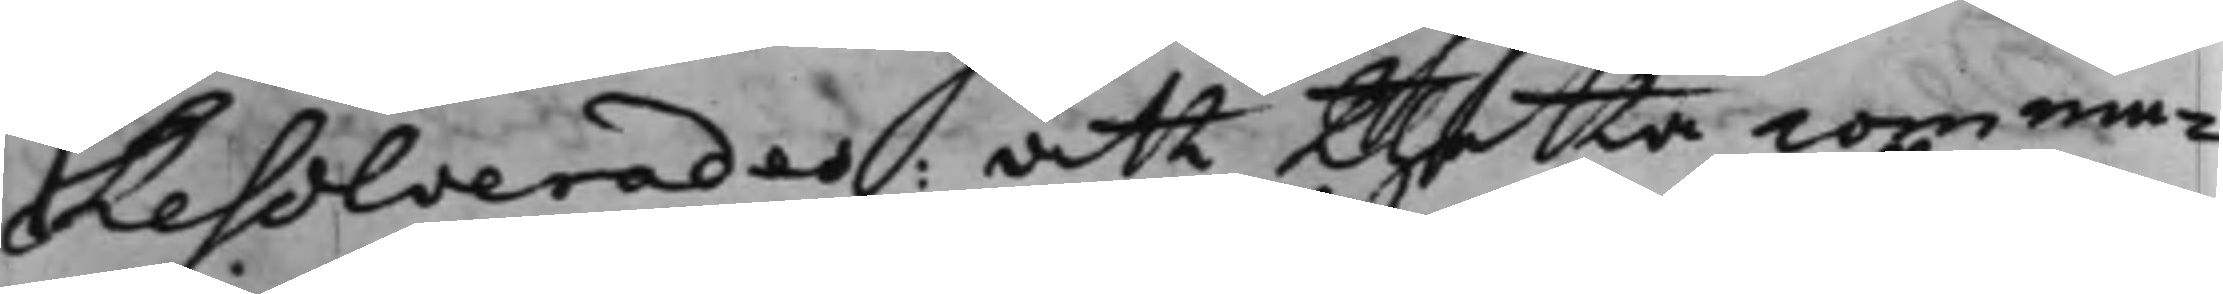Resolverades: att thetta commu¬
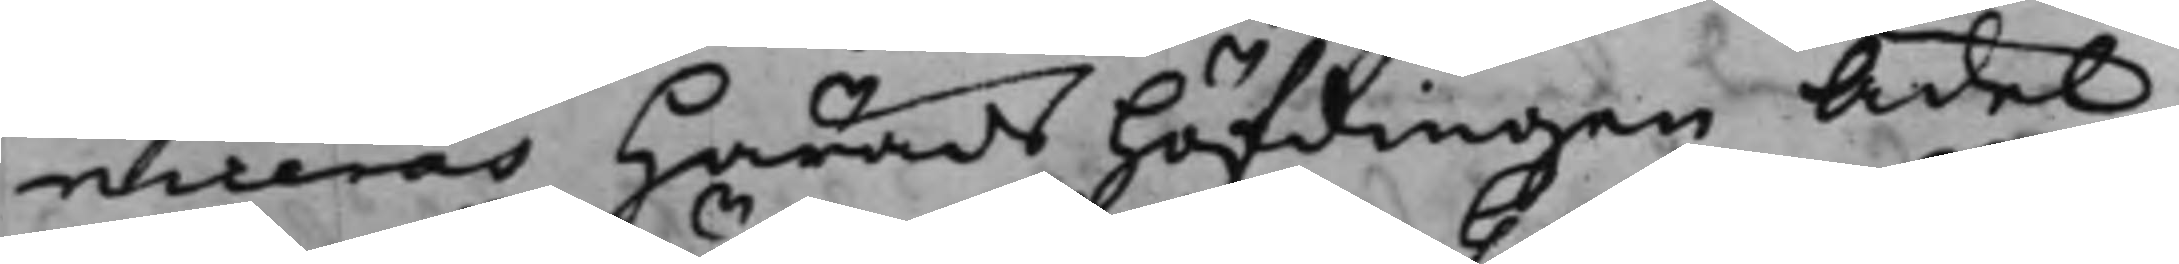niceras Häradshöfdingen Ädel
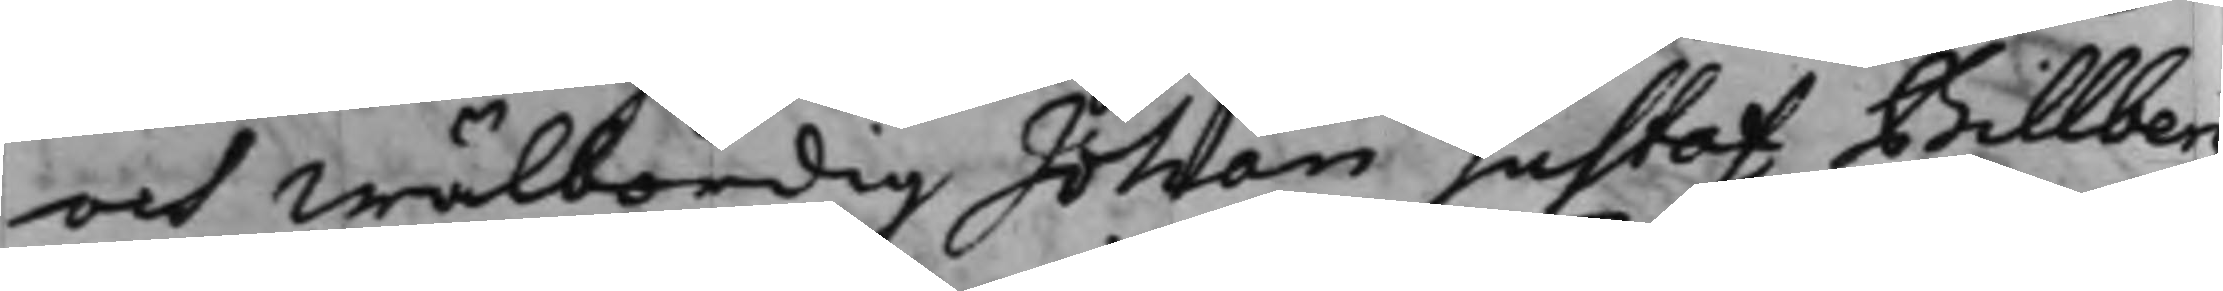och Wälbördig Johan Gustaf Billberg
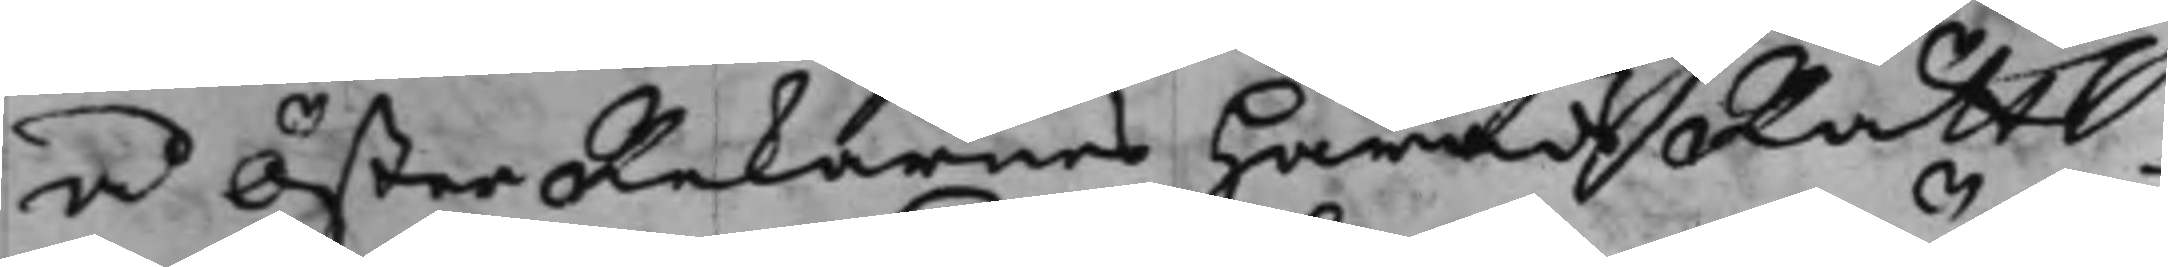å ÖsterRekarnes HäradzRätts
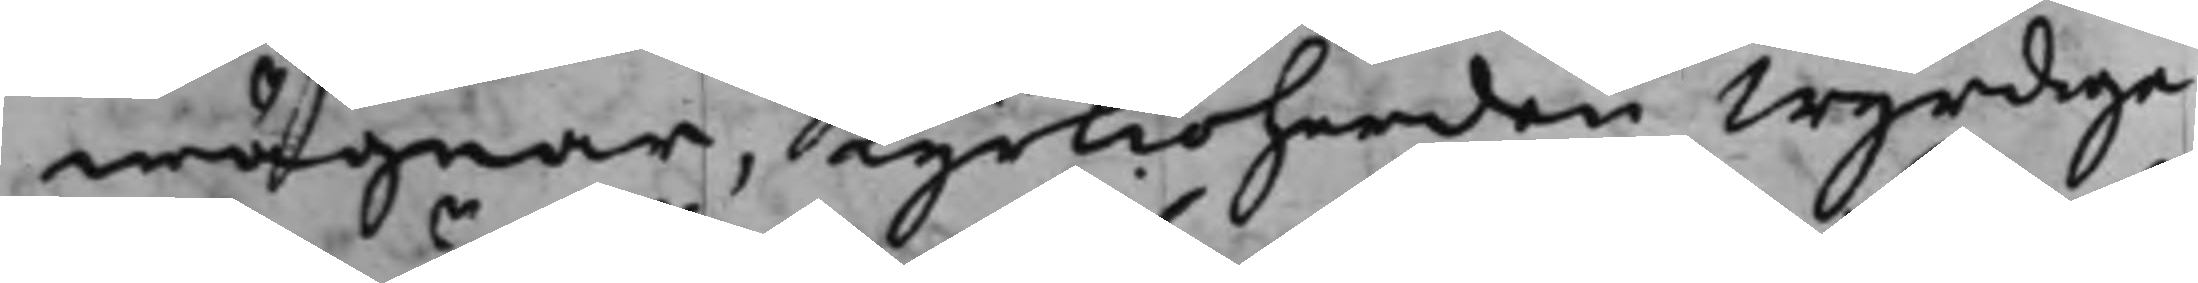wägnar, Kyrkioherden Wyrdige
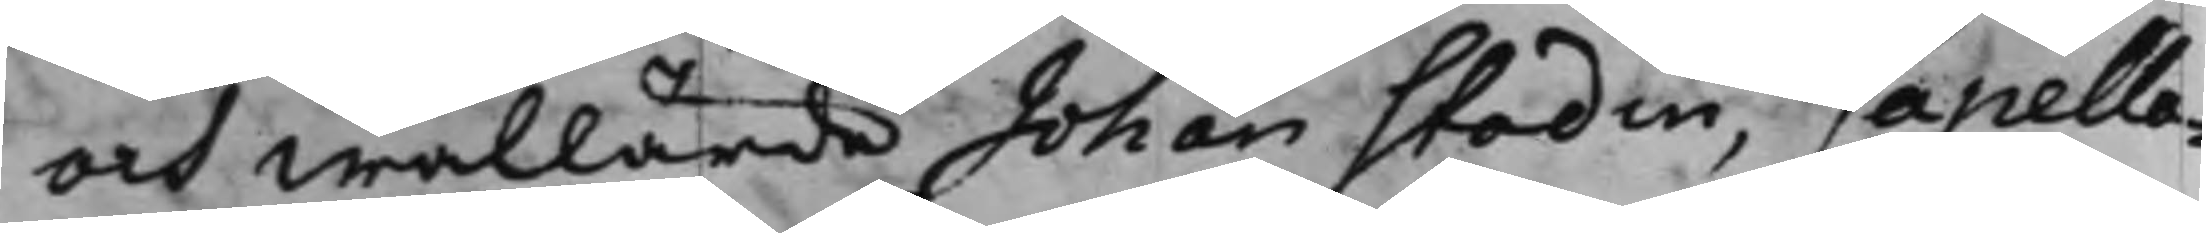och Wällärde Johan Stodin, Capella¬
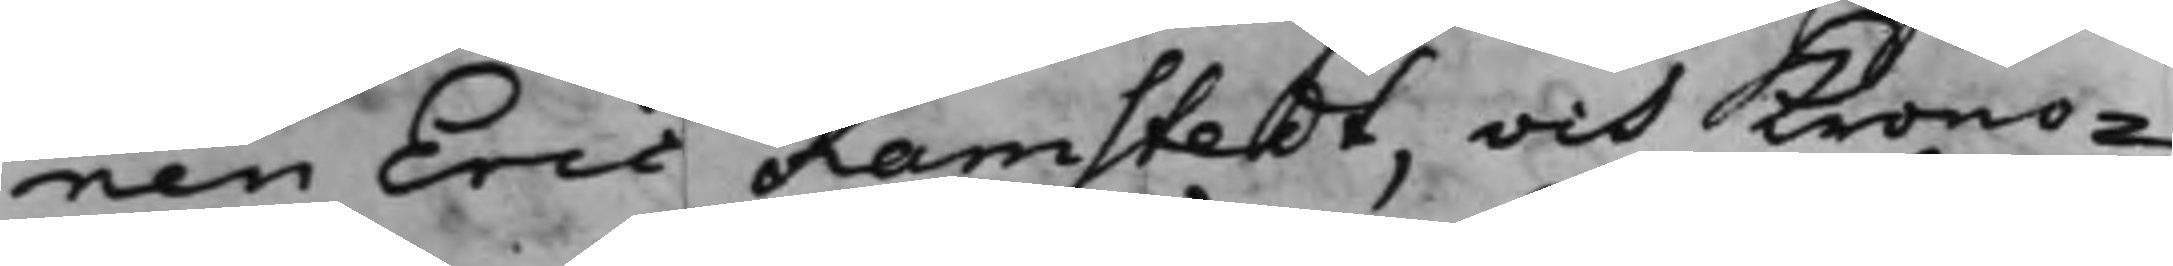nen Eric Ramstedt, och Krono¬
